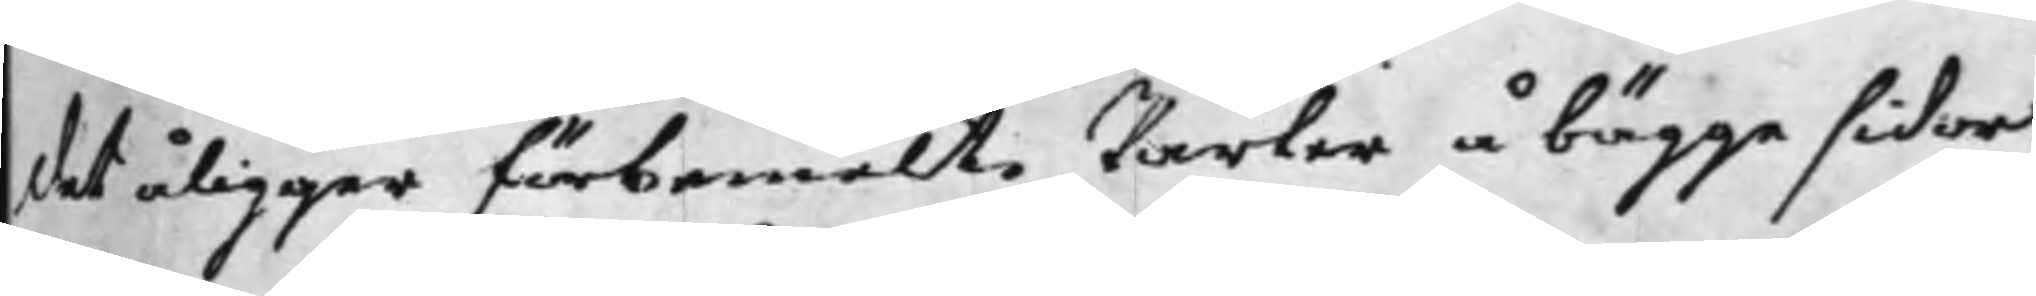det åligger förbemelte Parter å bägge sidor
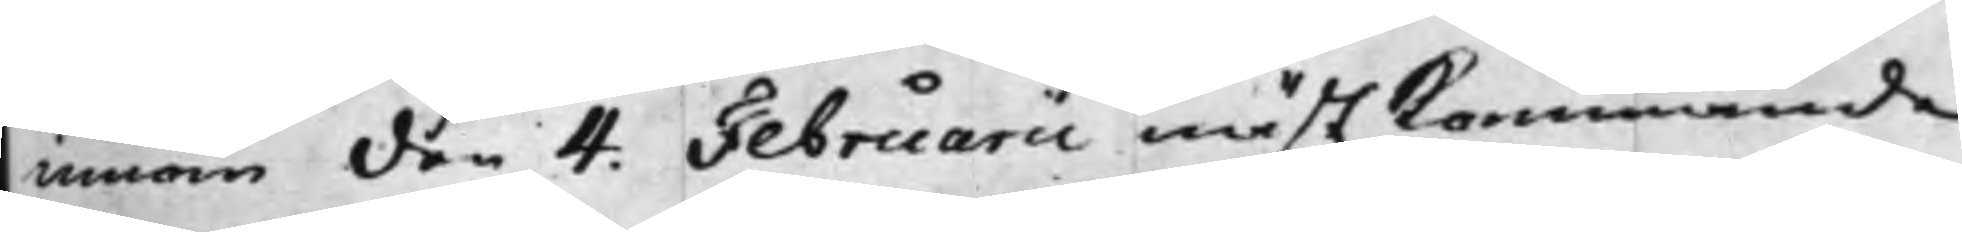innom den 4. Februarii nästkommande
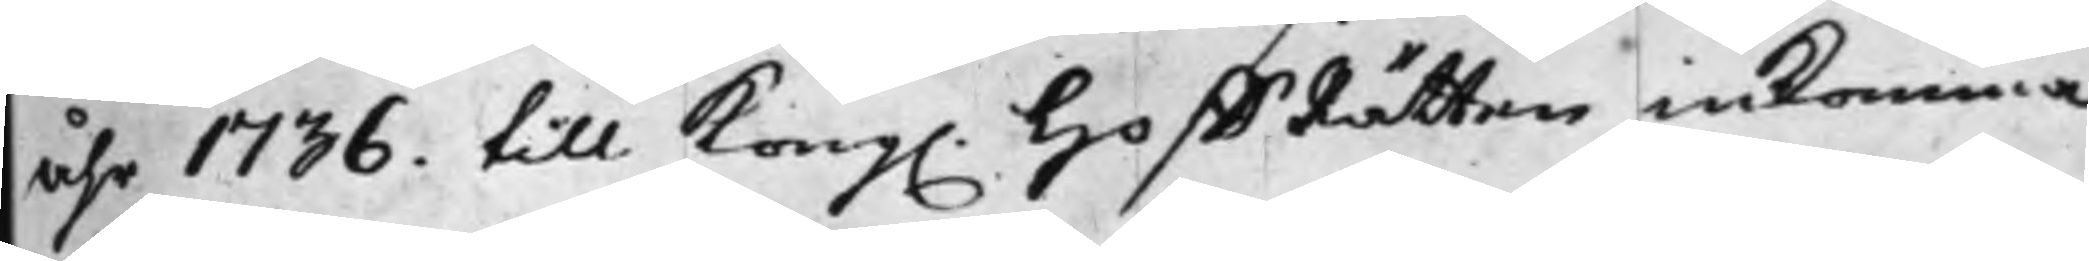åhr 1736. till Kong. HoffRätten inkomma
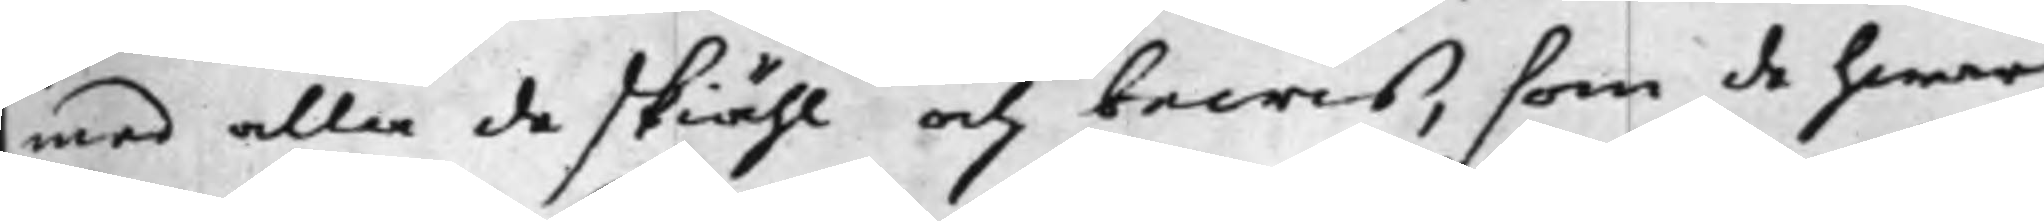med alla de skiähl och bewis, som de hwar¬
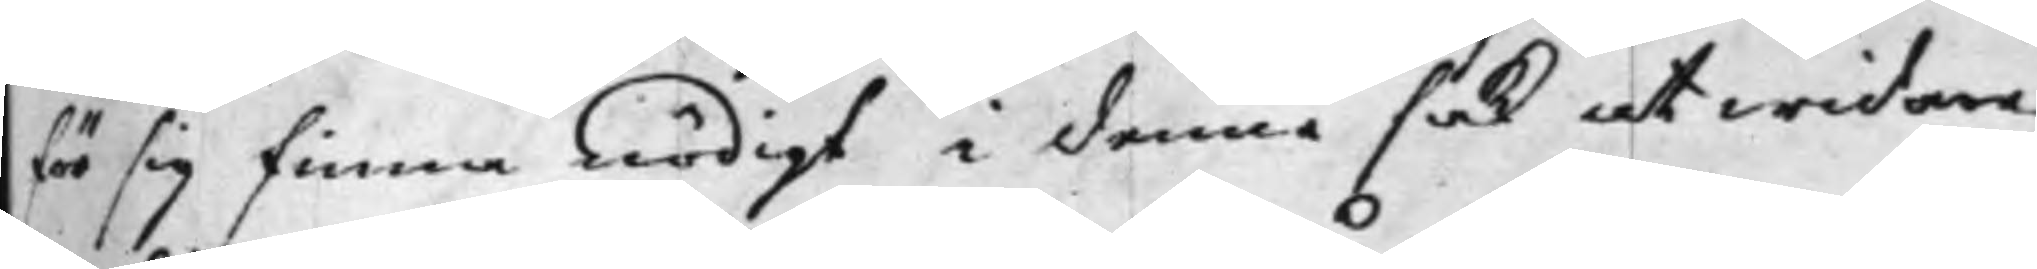för sig finna nödigt i denna sak at widare
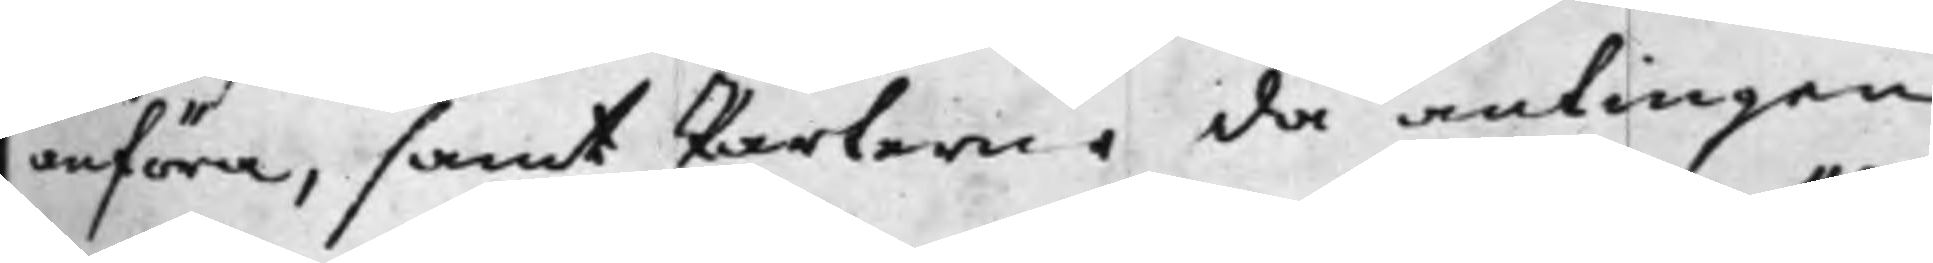anföra, samt Parterne då antingen
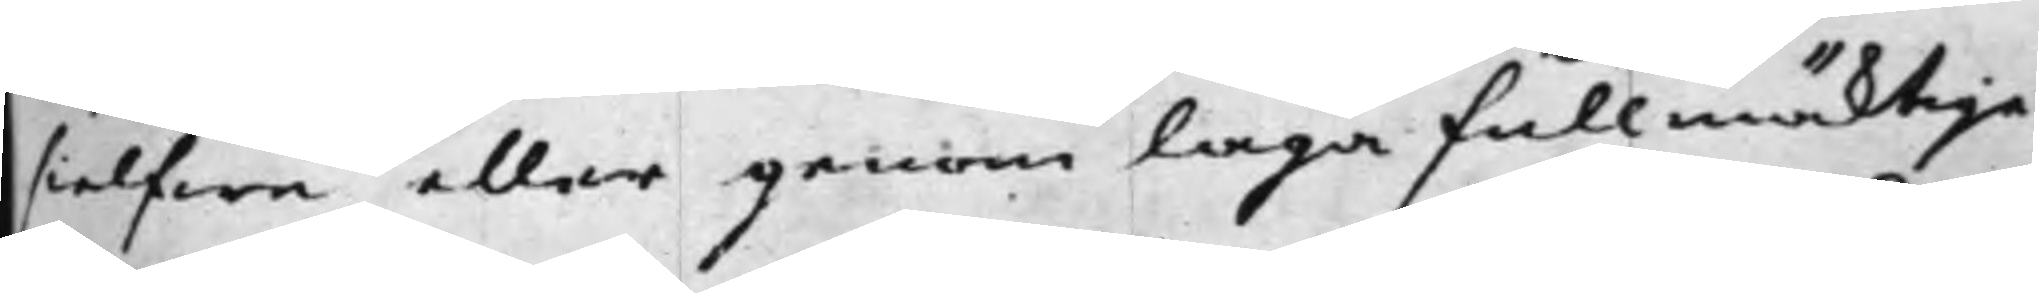sielfwa eller genom Laga fullmäcktige
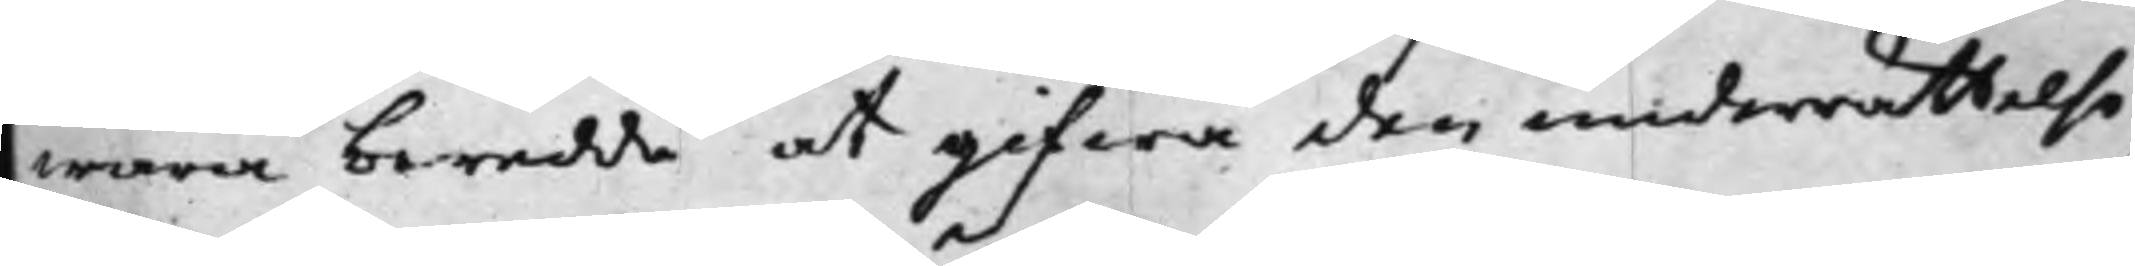wara beredde at gifwa den underrättelse,
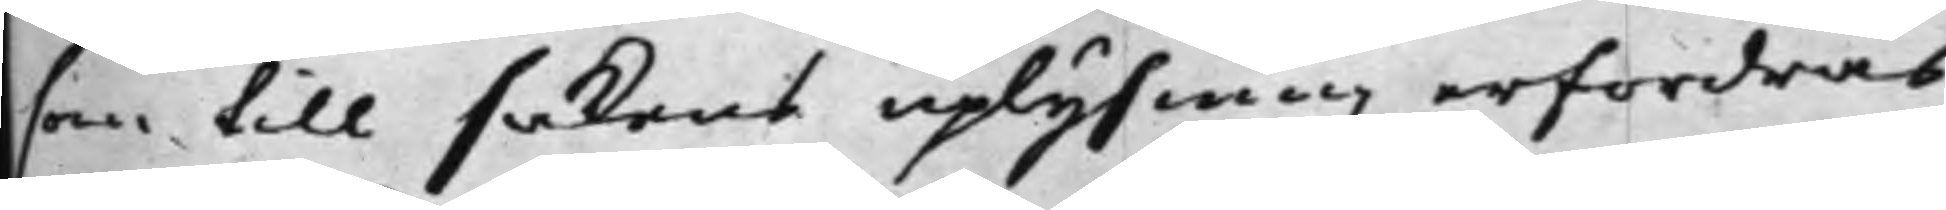som till sakens uplysning erfordras,
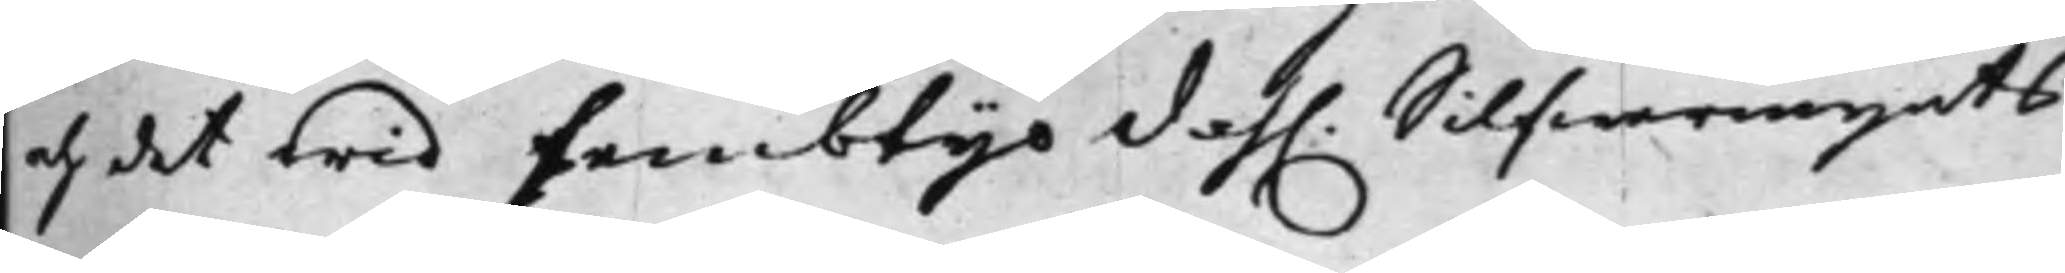och det wid fembtijo dah. Silfwermynts
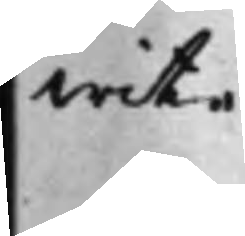wite.
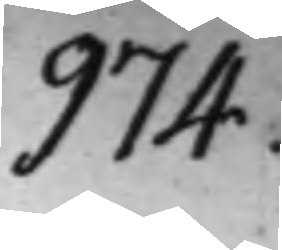974.
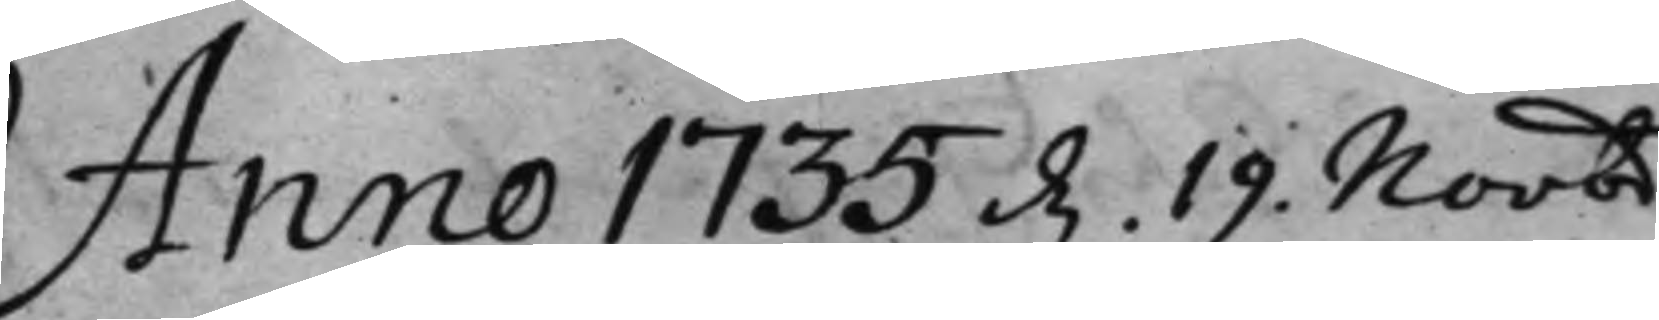Anno 1735 d. 19 Novbr
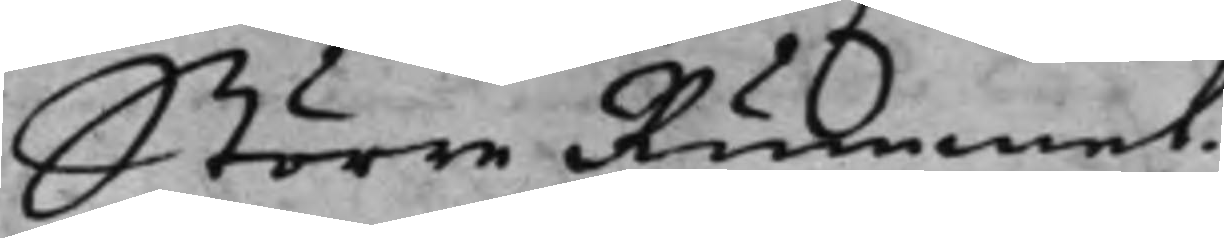Större Rummet.
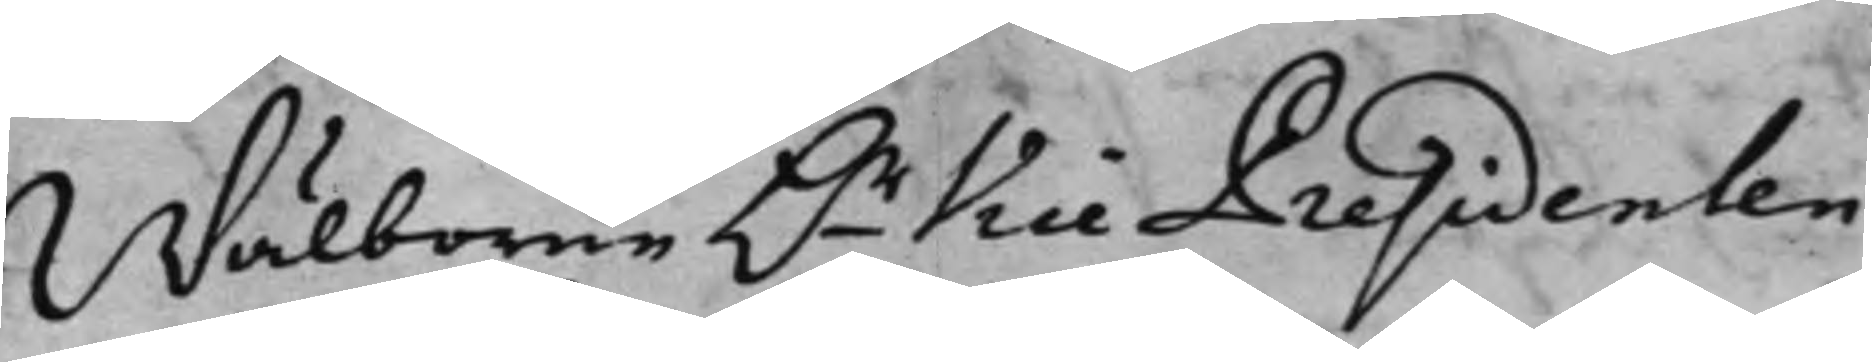Wälborne h.r Vice Presidenten
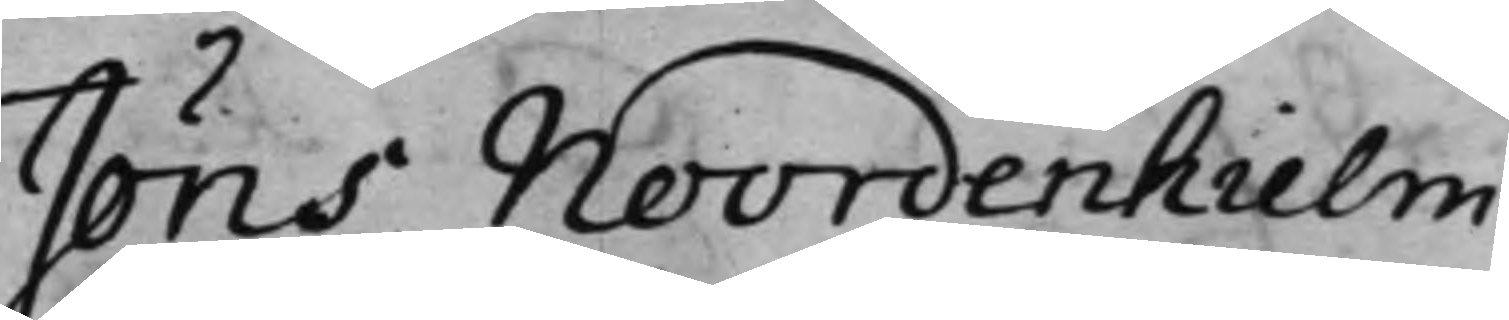Jöns Noordenhielm
